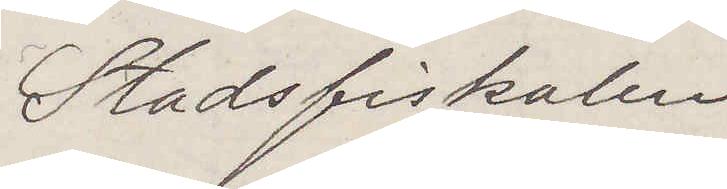Stadsfiskalen
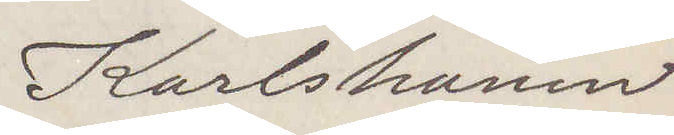Karlshamn
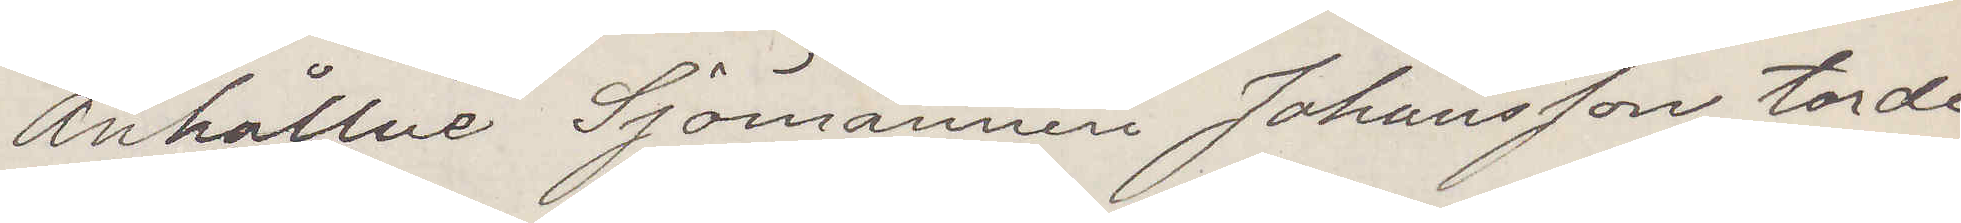Anhållne Sjömannen Johansson torde
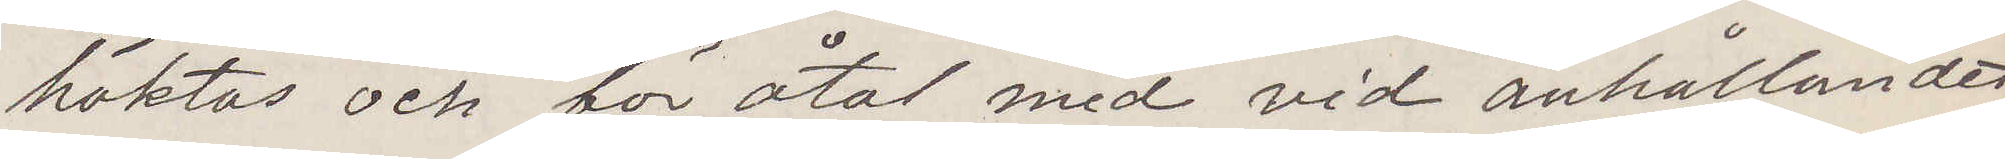häktas och för åtal med vid anhållandet
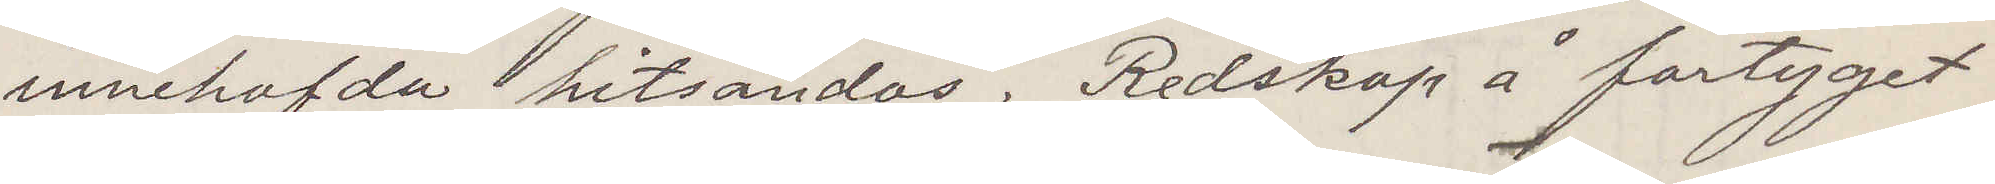innehafda hitsändas. Redskap å fartyget
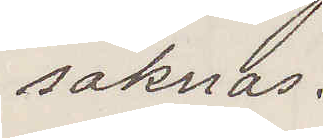saknas.
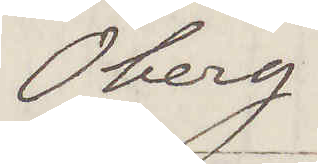Öberg
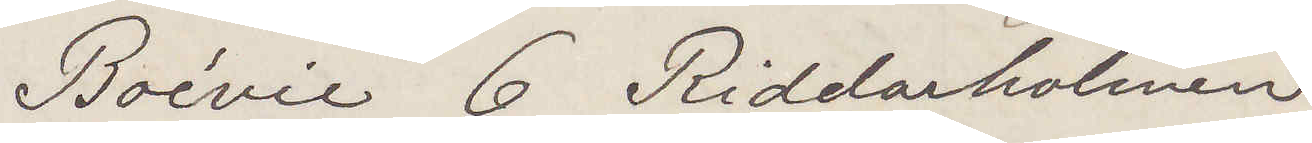Boévie 6 Riddarholmen
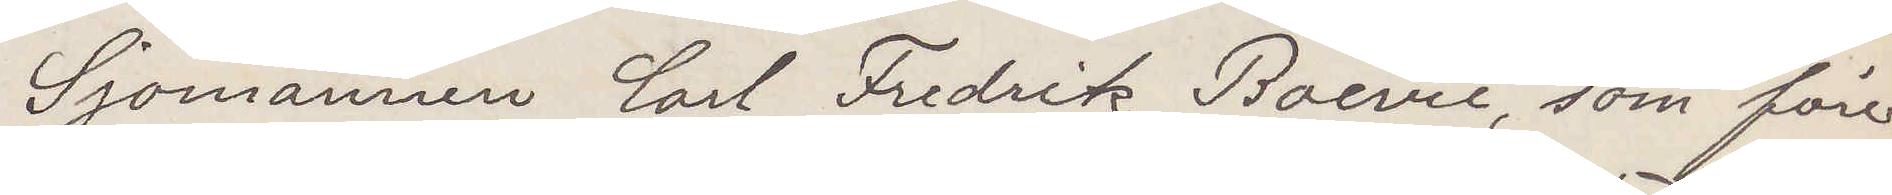Sjömannen Carl Fredrik Boevie, som före¬
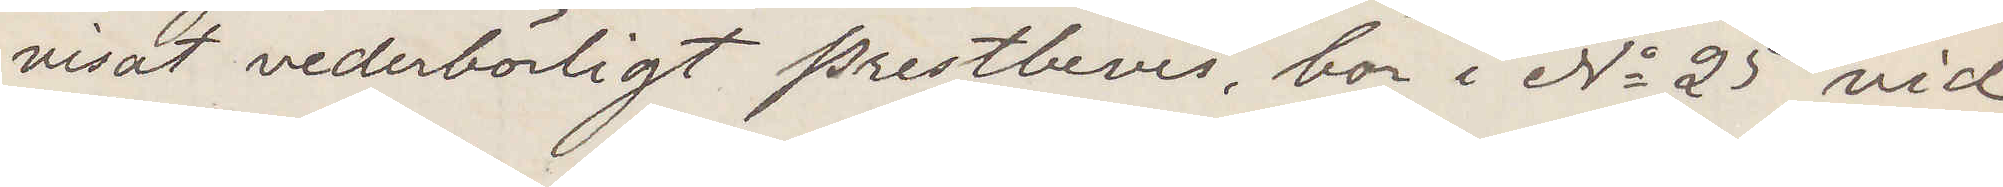visat vederbörligt prestbevis, bor i No 25 vid
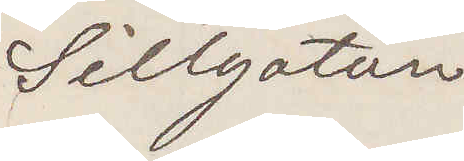Sillgatan
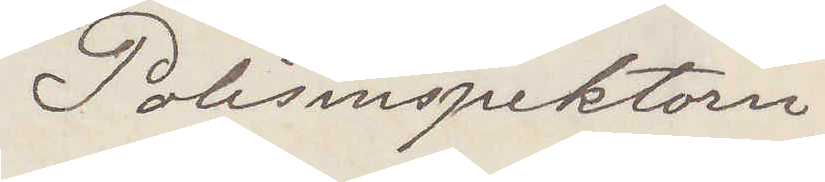Polisinspektorn
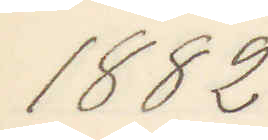1882
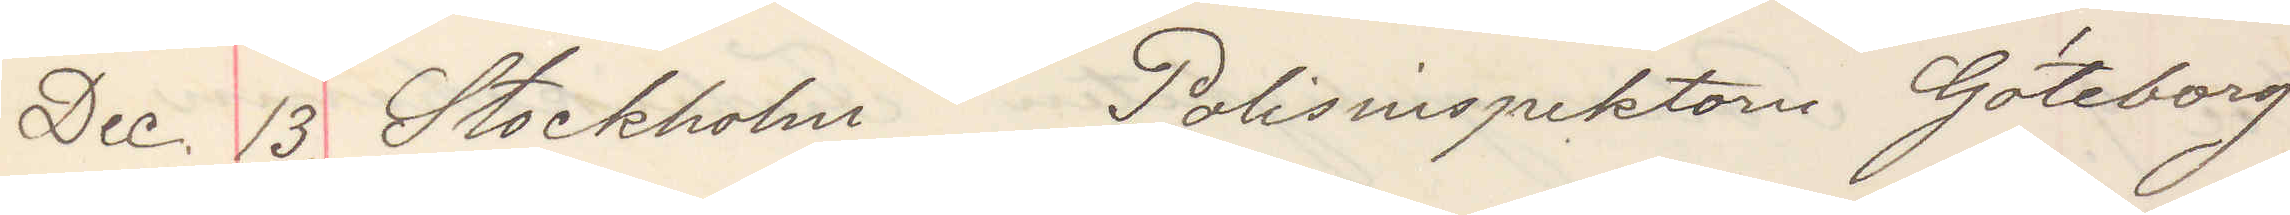Dec. 13. Stockholm Polisinspektorn Göteborg
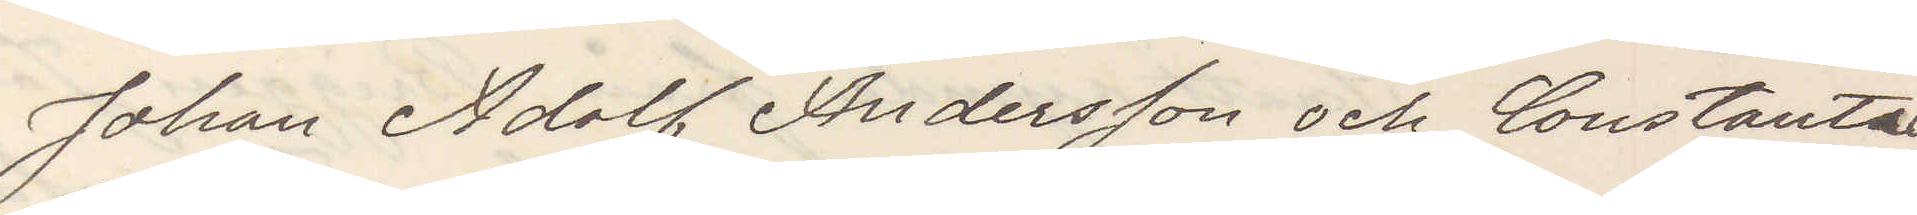Johan Adolf Andersson och Constantia
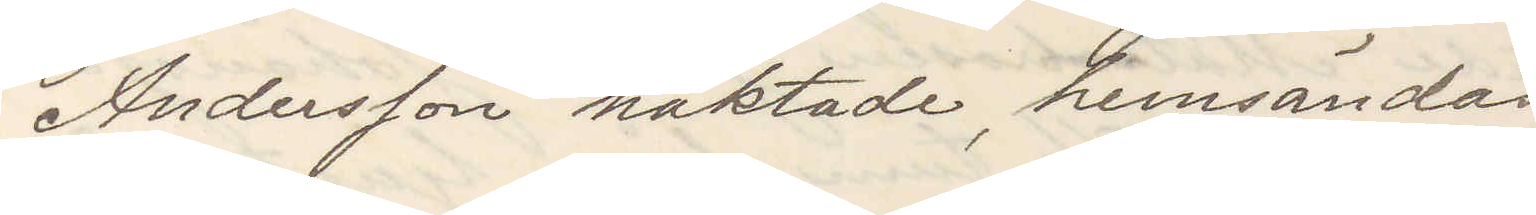Andersson häktade, hemsändes.
